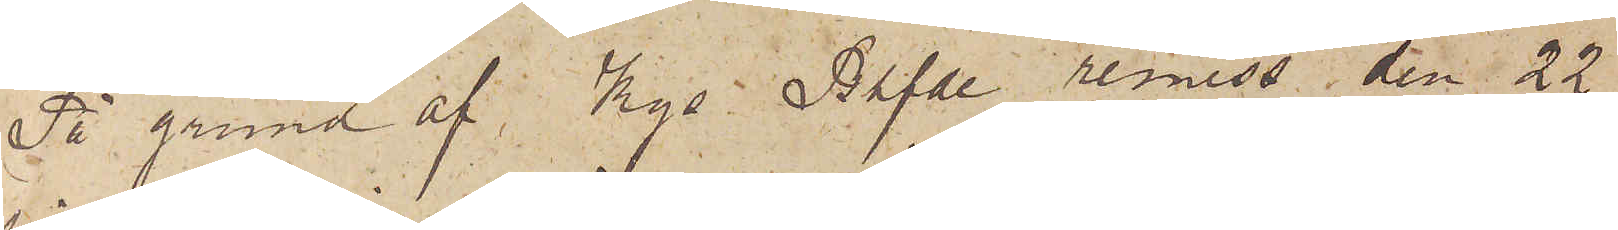På grund af Kgs Befde remiss den 22
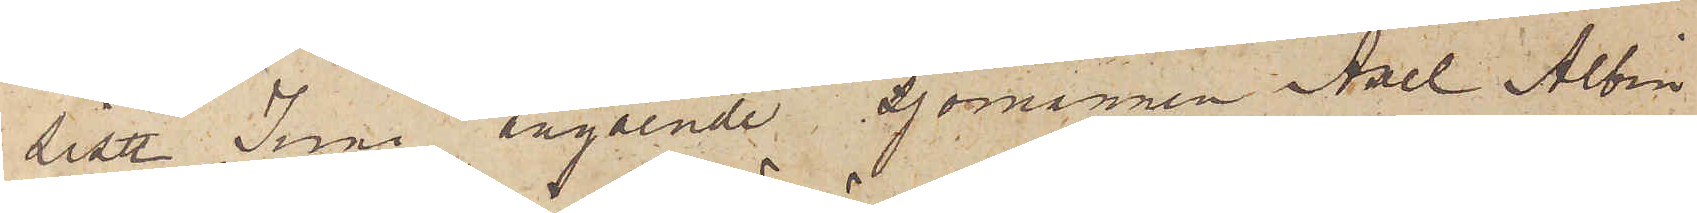sist Juni angående sjömannen Axel Albin
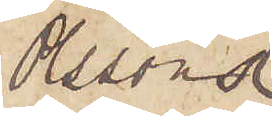Ossons
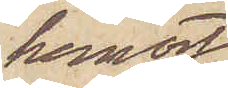hemort
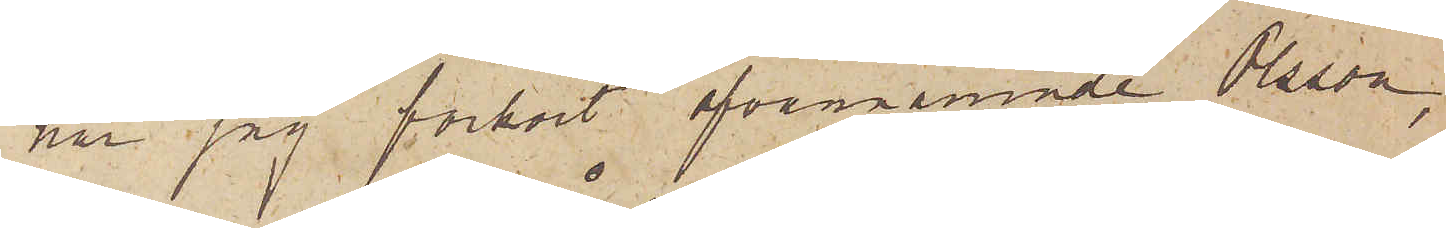har jag förhört ofvannämnde Olsson,
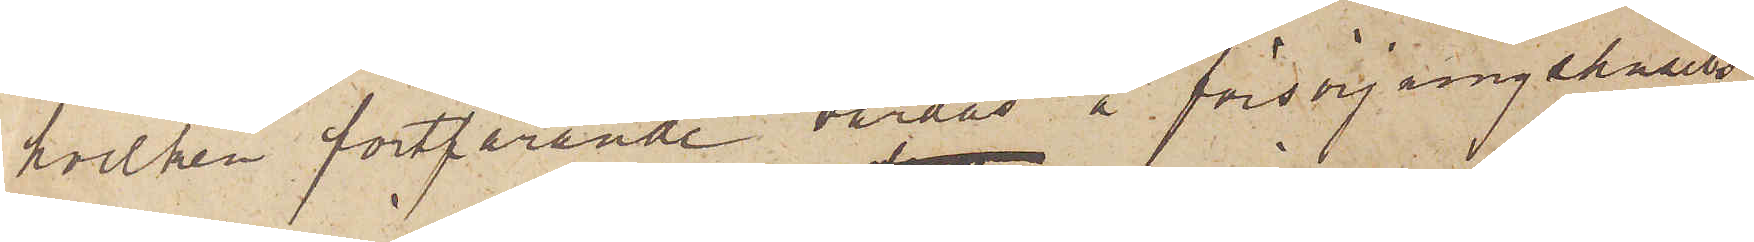hvilken fortfarande vårdas å försörjningshusets
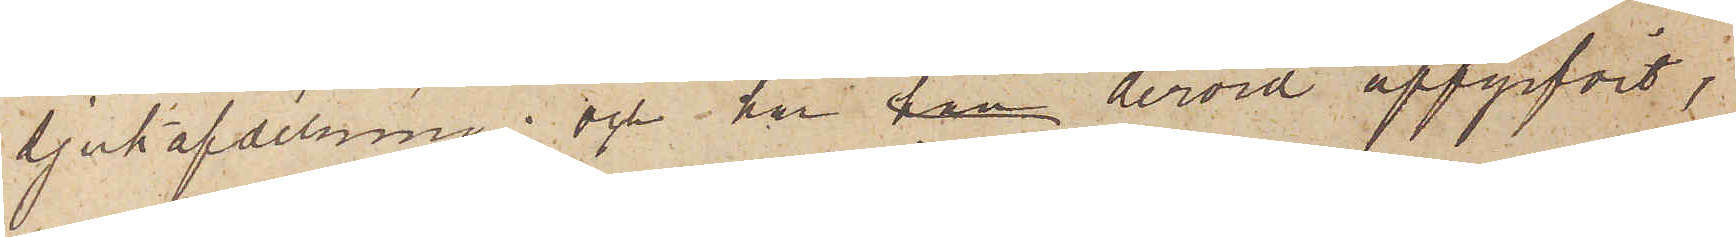sjukafdelning; och har han dervid uppgifvit,
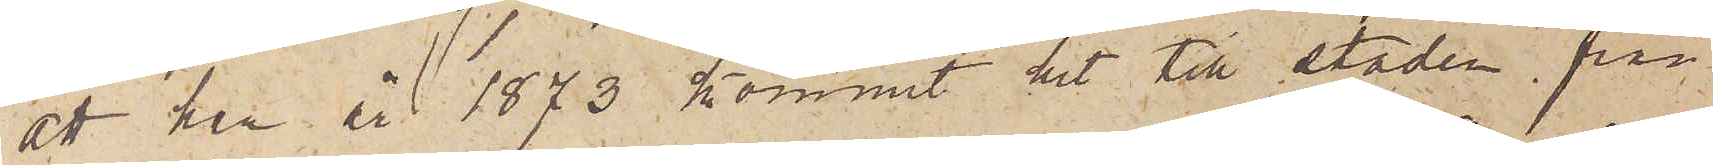att han år 1873 kommit hit till staden från
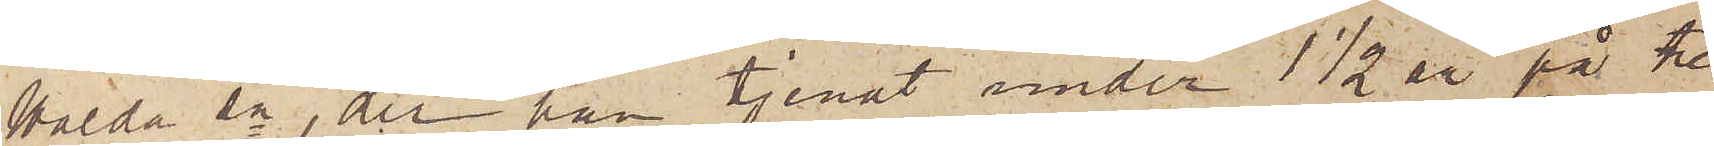Walda sn, der han tjenat under 1 1/2 år på tre
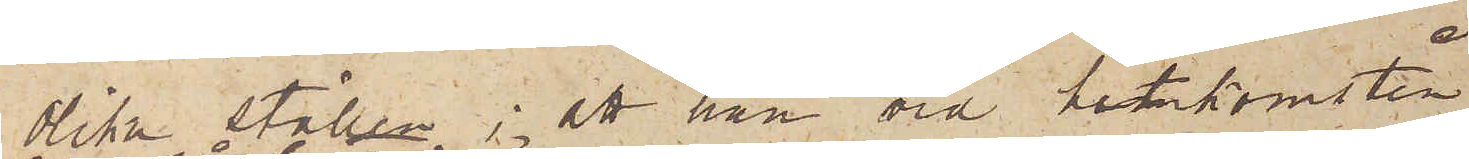olika ställen; att han vid hitkomsten
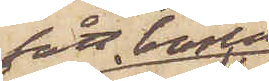fått bostad
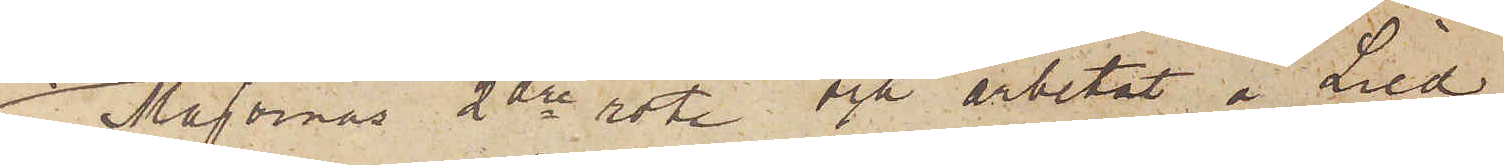i Majornas 2dre rote och arbetat å Lied¬
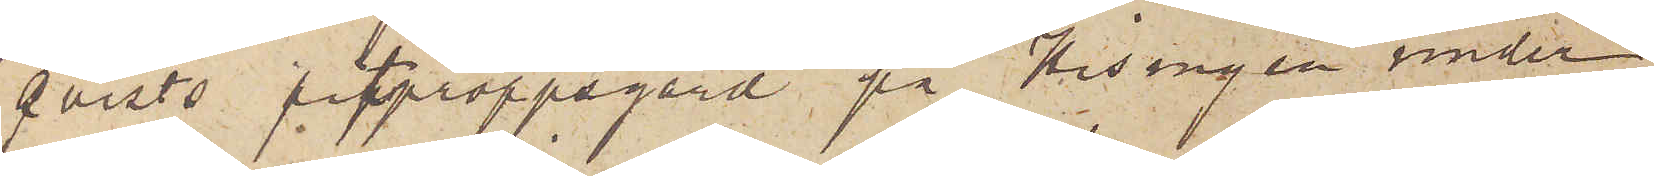qvists pitproppsgård på Hisingen under
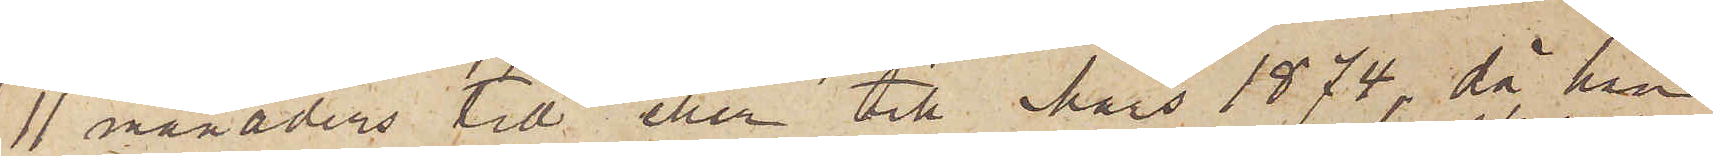11 månaders tid eller till Mars 1874, då han
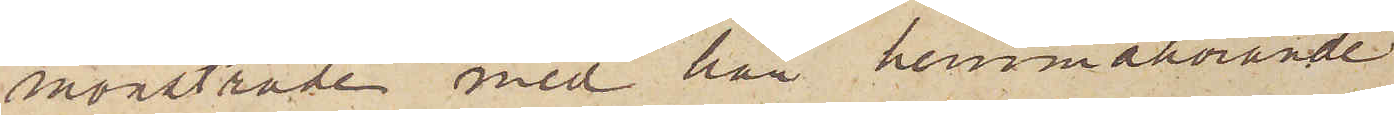mönstrade med här hemmahörande
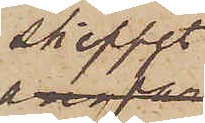skeppet
